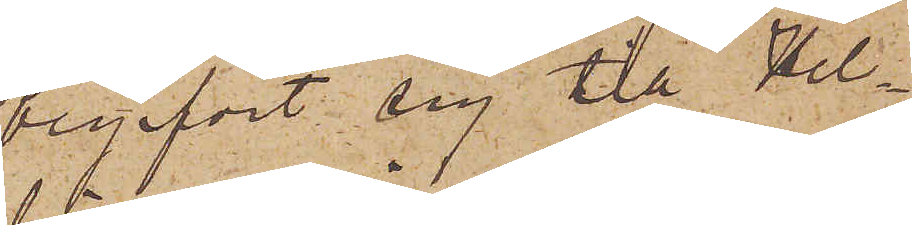begifvit sig till Hel¬
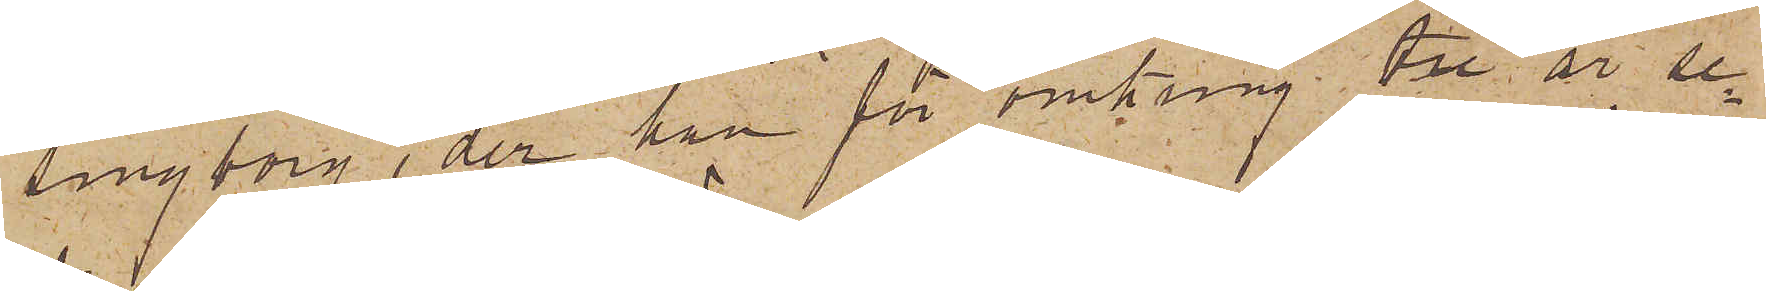singborg, der han för omkring tre år se¬
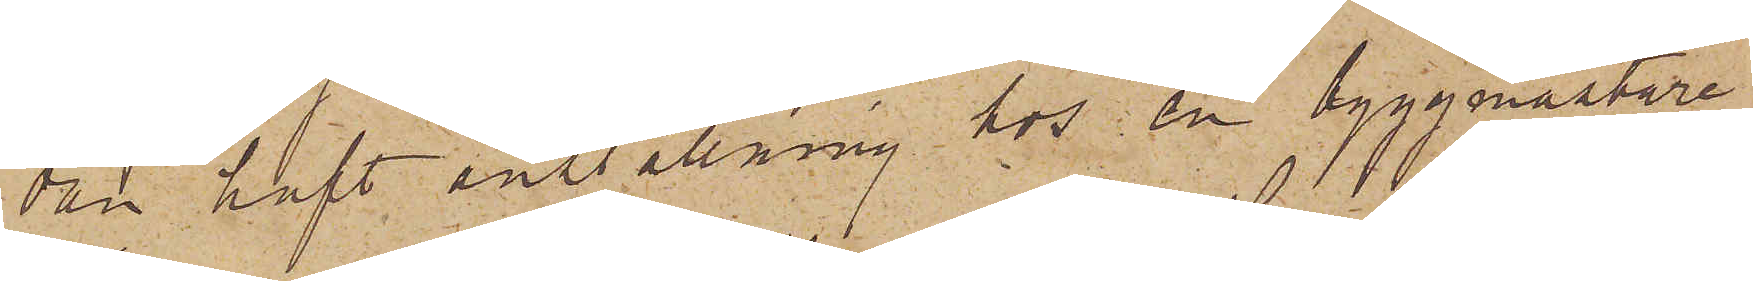dan haft anställning hos en byggmästare
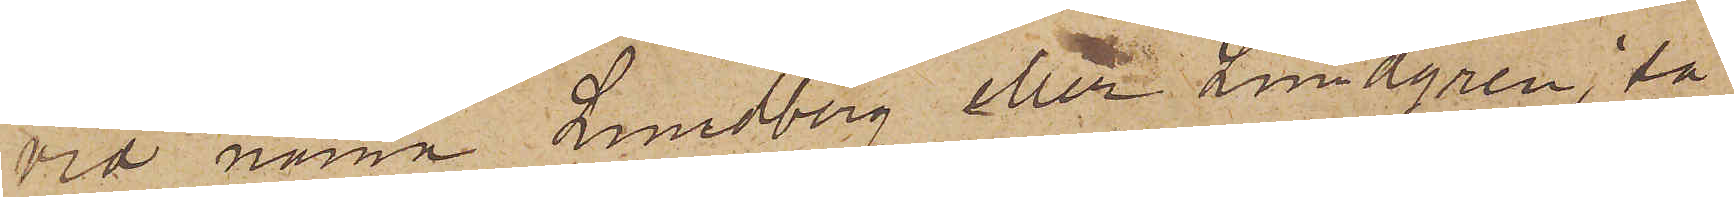vid namn Lundberg eller Lundgren, så
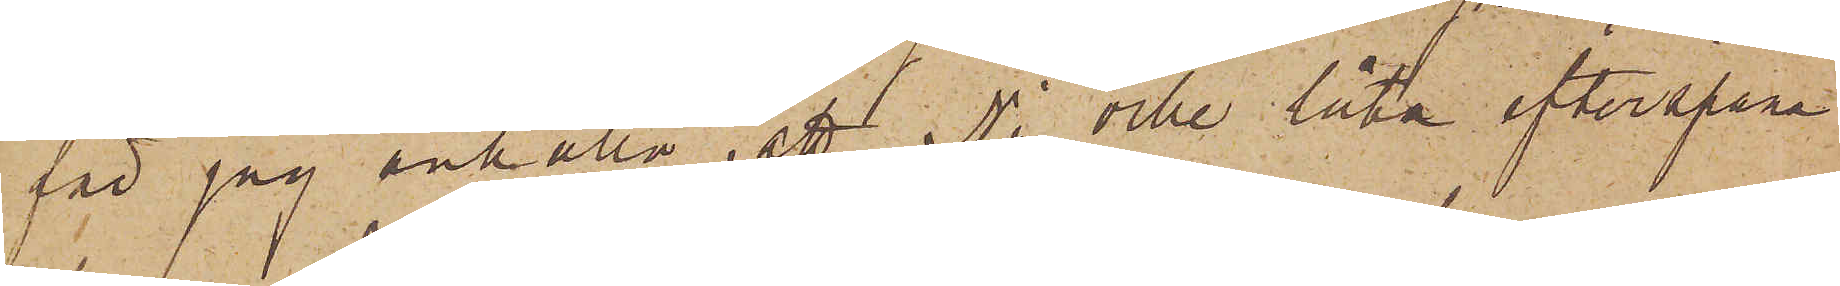får jag anhålla, att Ni ville låta efterspana
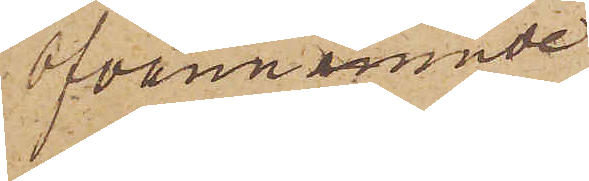ofvannämnde
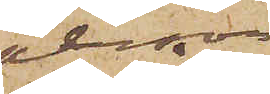person
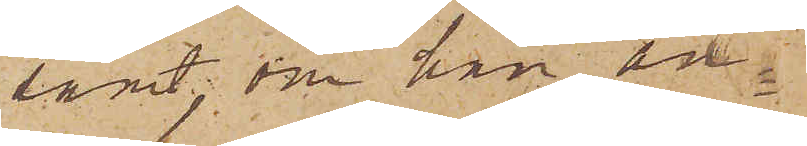samt, om han an¬
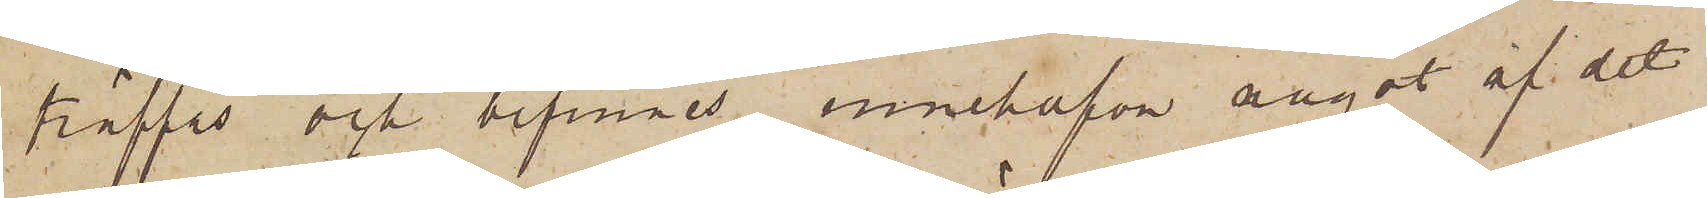träffas och befinnes innehafva något af det
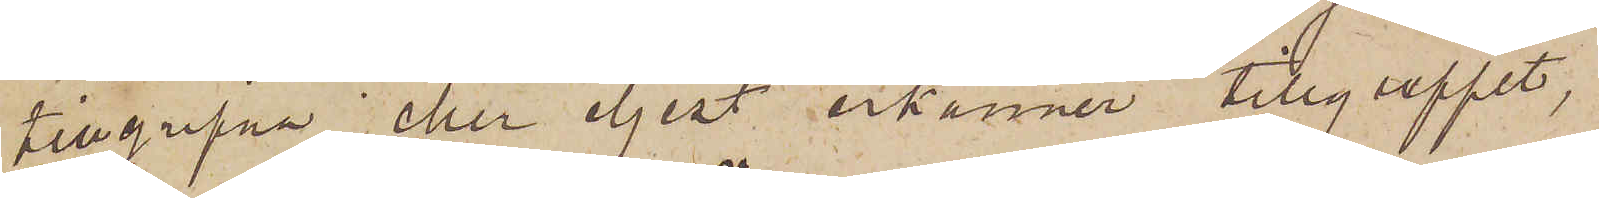tillgripna eller eljest erkänner tillgreppet,
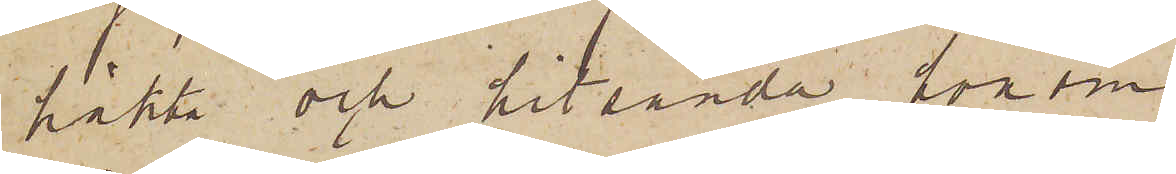häkta och hitsända honom
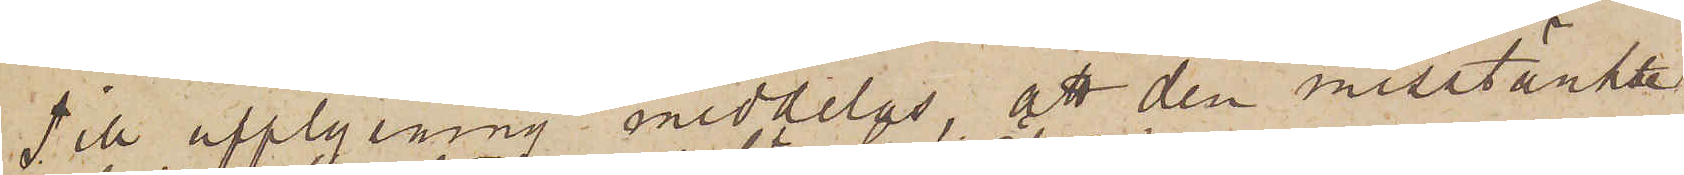Till upplysning meddelas, att den misstänkte
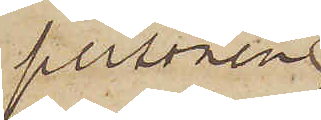personen,
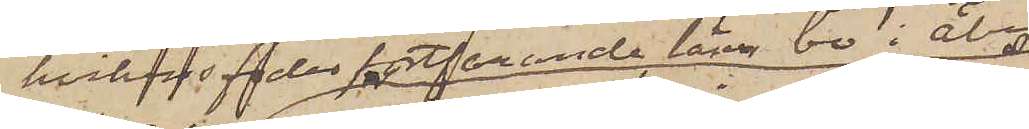hvilkens fader fortfarande lärer bo i Åby
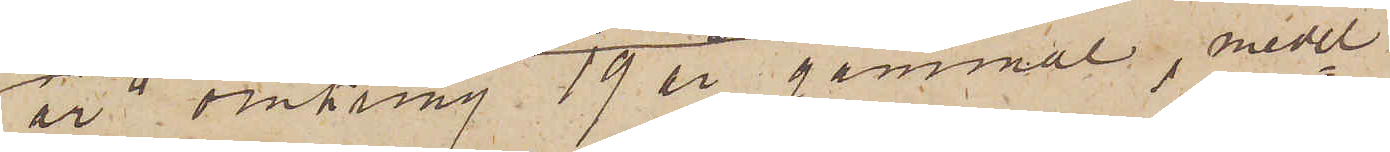är omkring 19 år gammal, medel¬
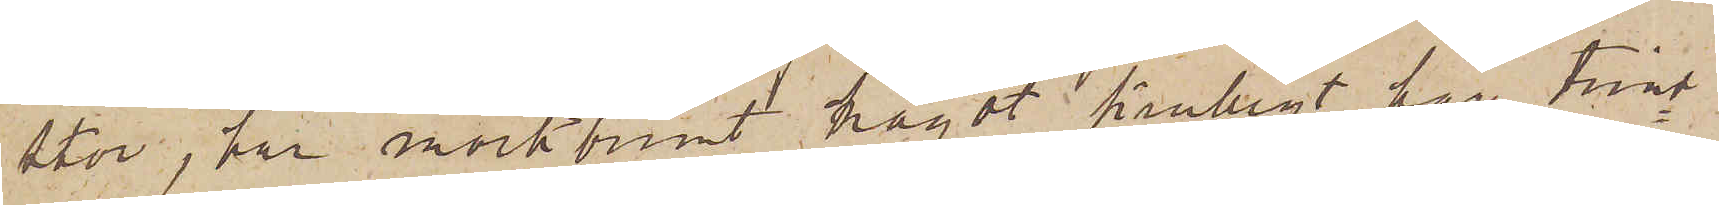stor, har mörkbrunt något krulligt hår, trind¬
